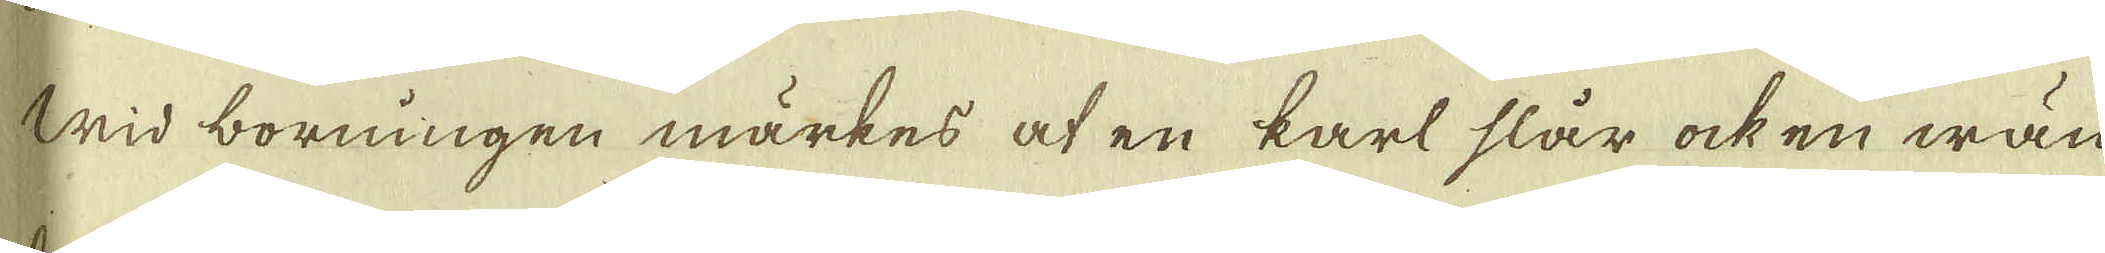Wid borningen märkes at en karl slår ock en wän-
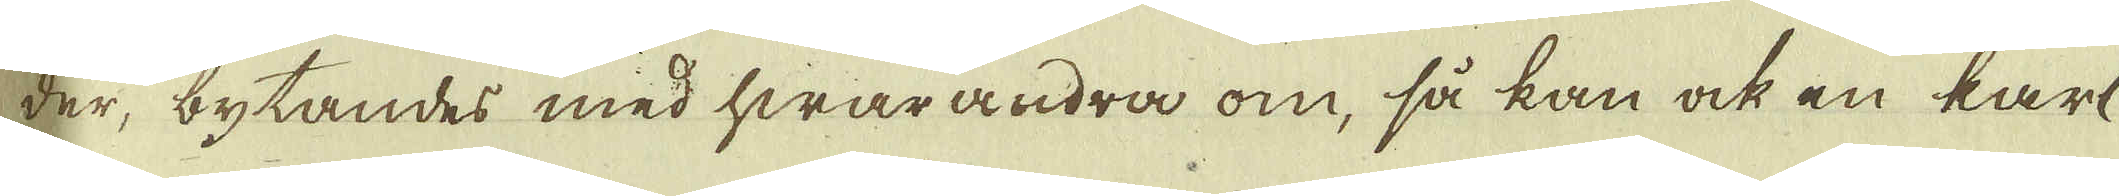der, bytandes med hwarandra om, så kan ock en karl
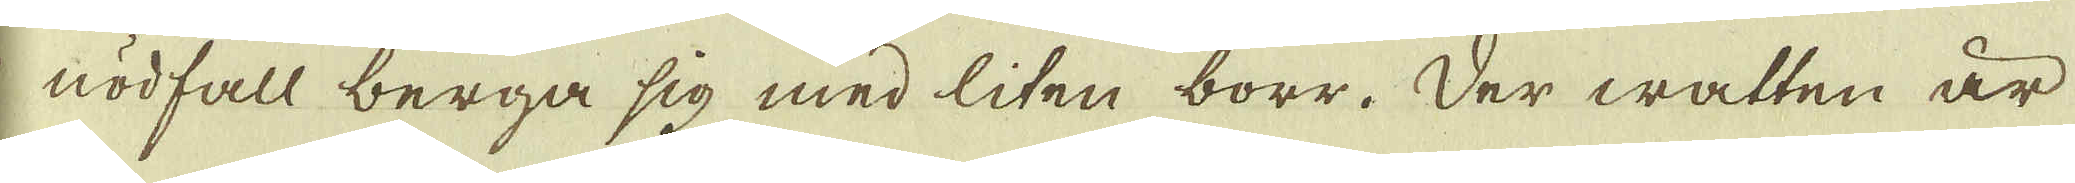i nödfall berga sig med liten borr. Der watten är
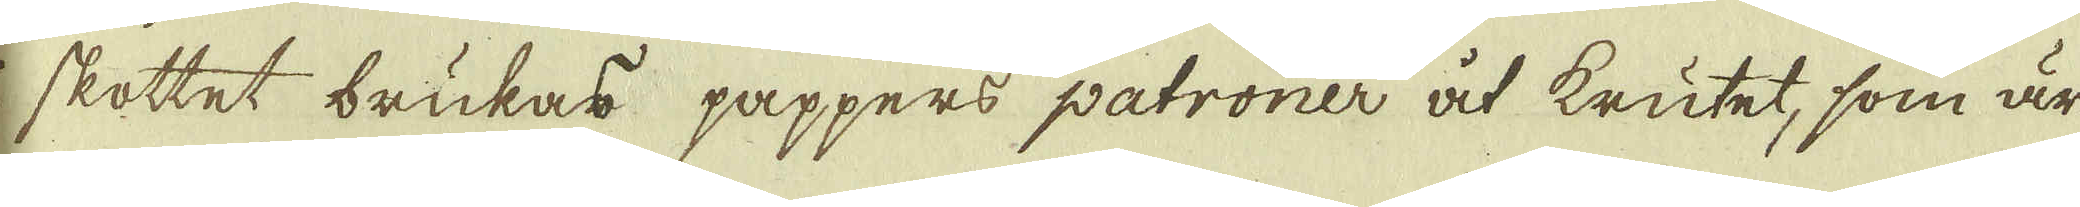i skottet brukas pappers patroner at krutet, som är
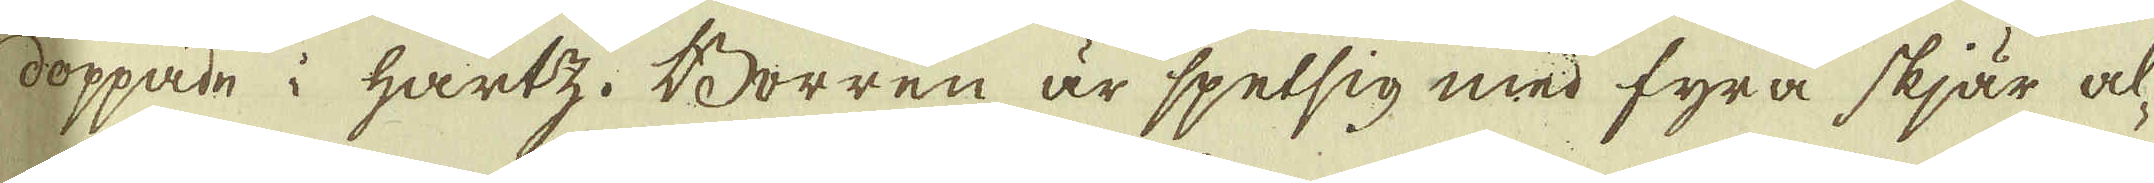doppade i hartz. Borren är spetsig med fyra skjär al-
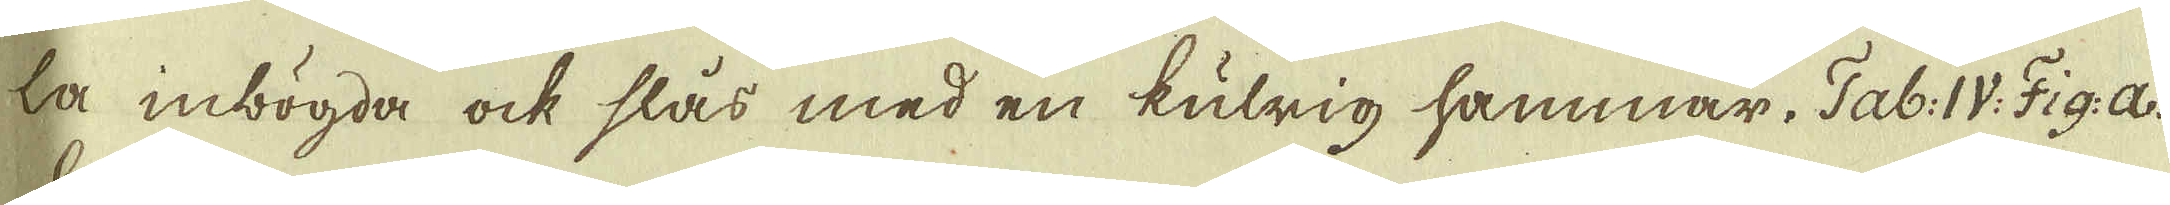la inbögda ock slås med en kulrig hammar, Tab: IV. Fig: a.
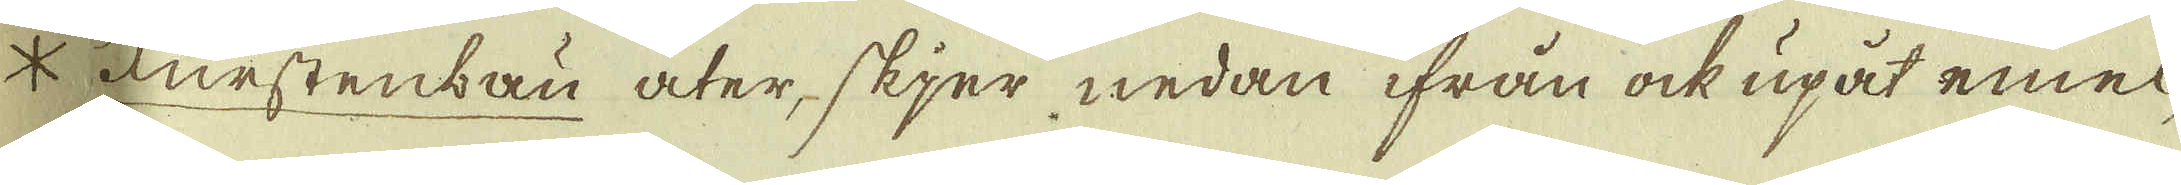Furstenbau åter, skjer nedan ifrån ock upåt emel-
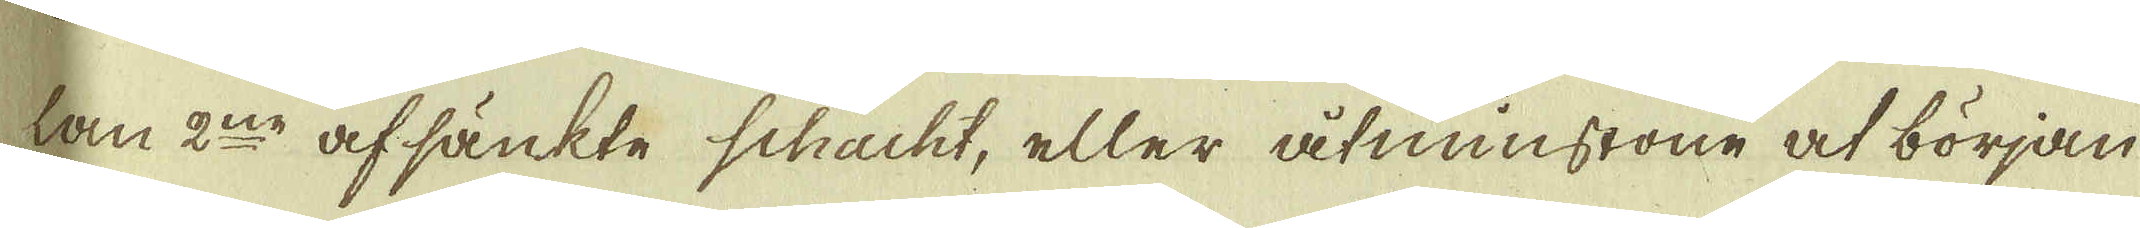lan 2:ne afsänkte Schacht, eller åtminstone at början
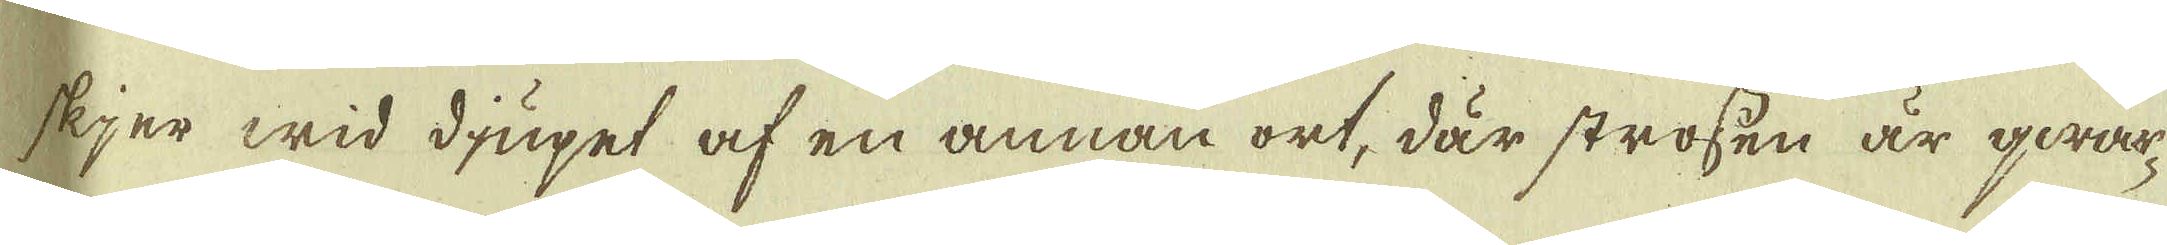skjer wid diupet af en annan ort, där strossen är qwar-
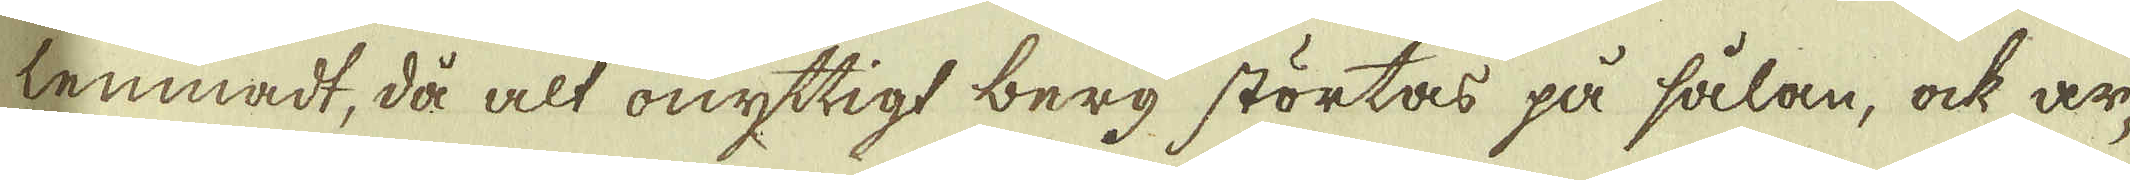lemnadt, då alt onyttigt berg störtas på sålan, ock ar-
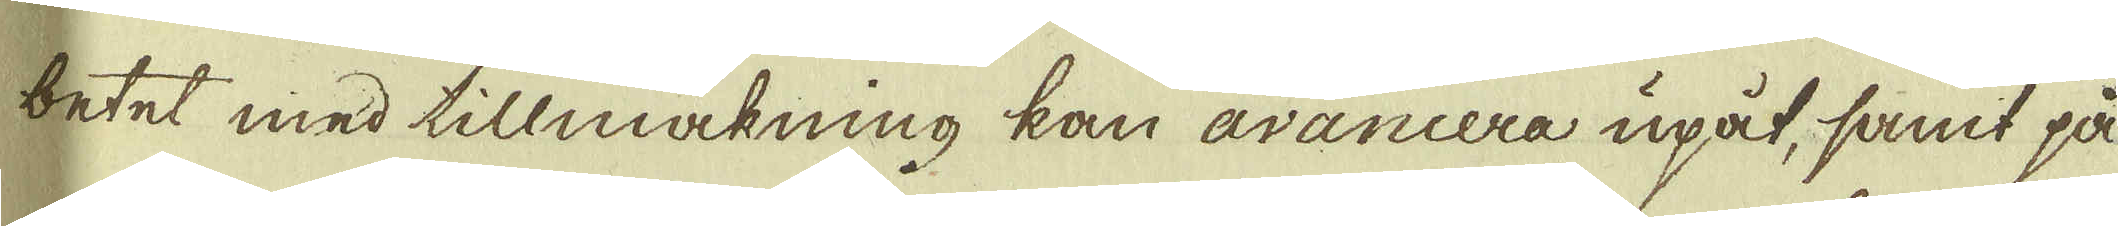betet med tillmakning kan avancera upåt, samt på
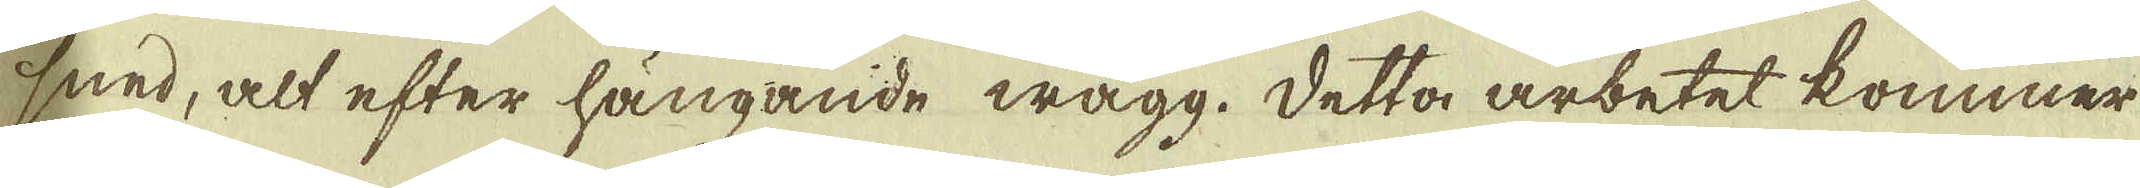sned, alt efter hängande wägg. Detta arbetet kommer
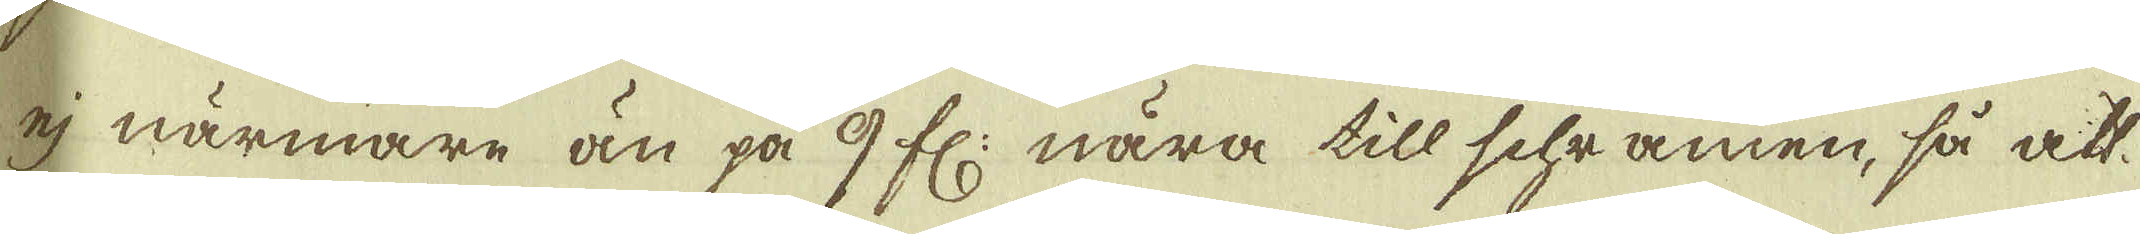ej närmare än på 9 fl: nära till schramen, så att
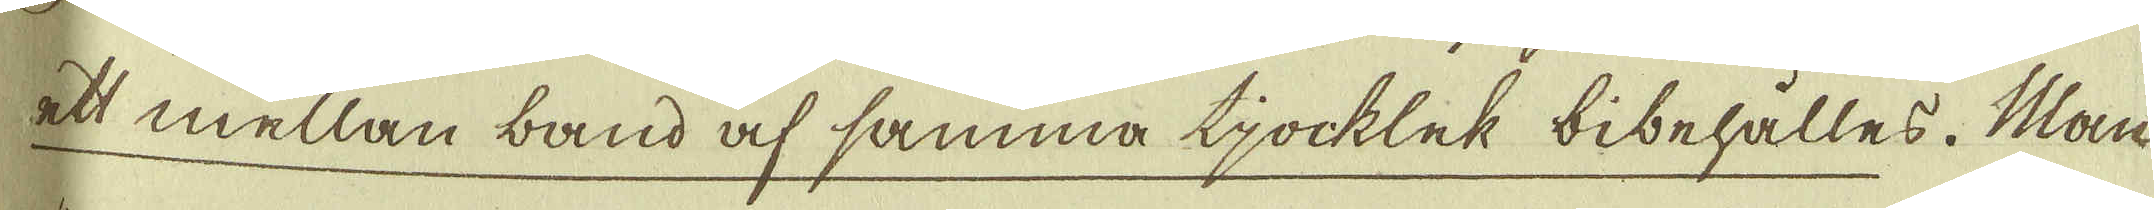ett mellan band ock samma tjocklek bibehålles. Man
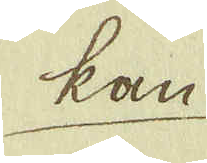kan
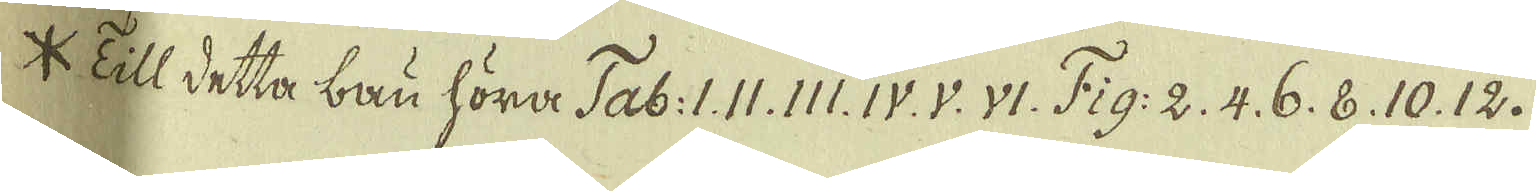* Till detta bau höra Tab: I. II. III. IV. V. VI. Fig. 2. 4. 6. 8. 10. 12. 
